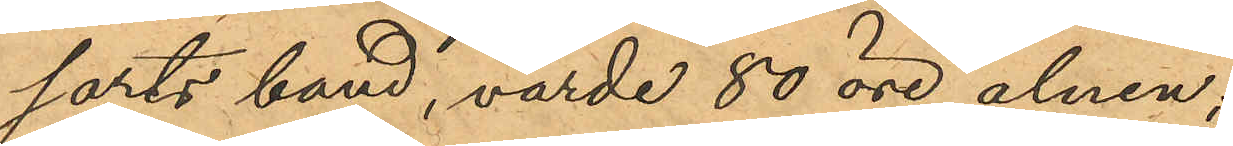sarts band, värde 80 öre alnen;
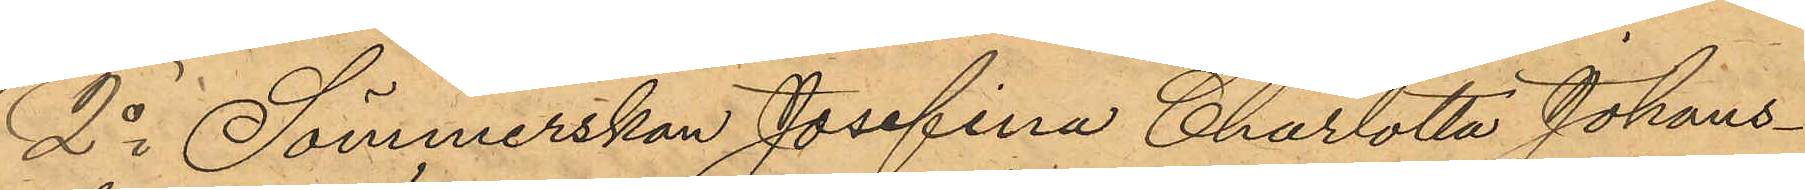2o Sömmerskan Josefina Charlotta Johans¬
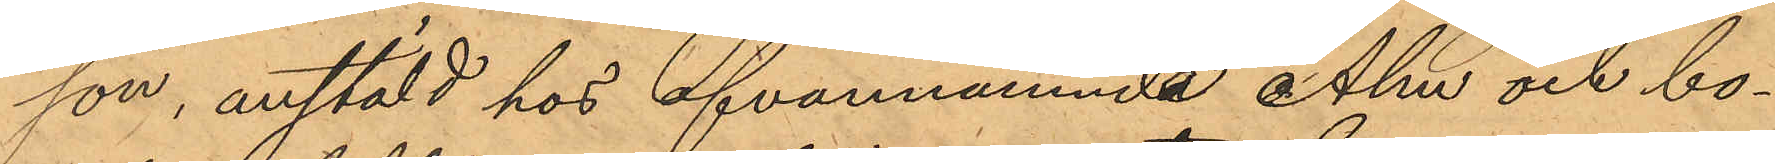son, anstäld hos ofvannämnde Alm och bo¬
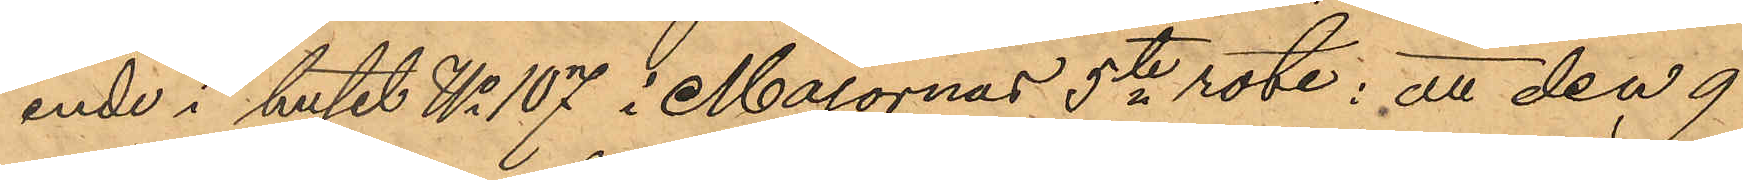ende i huset No 107 i Majornas 5te rote; att den 9
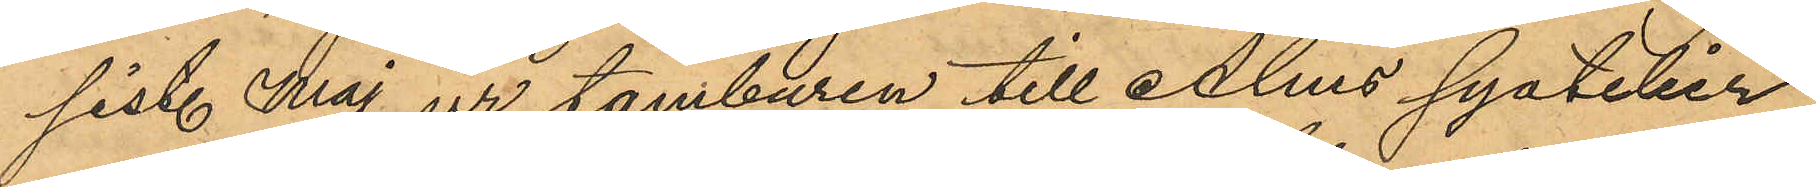sist. Maj ur tamburen till Alms syatelier
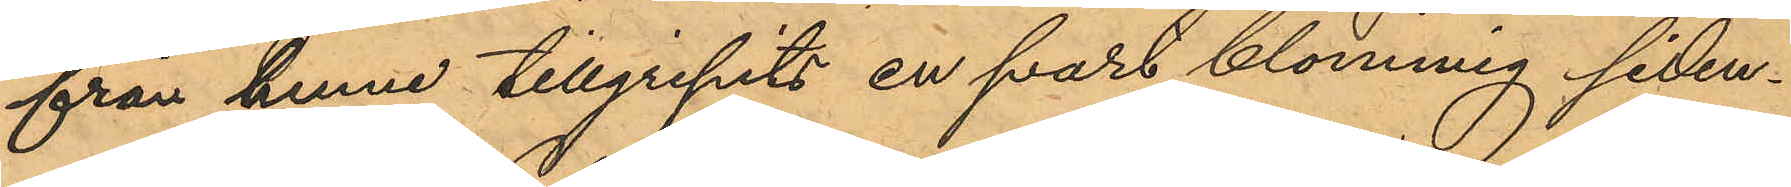från henne tillgripits en svart blommig siden¬
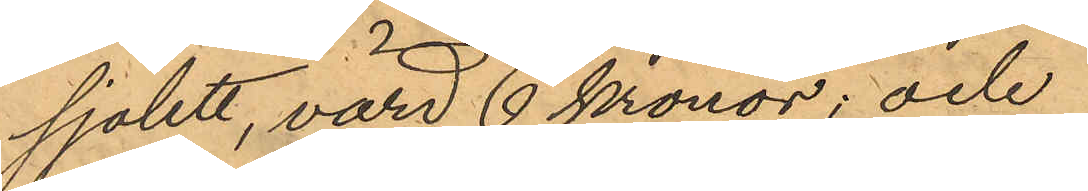sjalett, värd 6 kronor; och
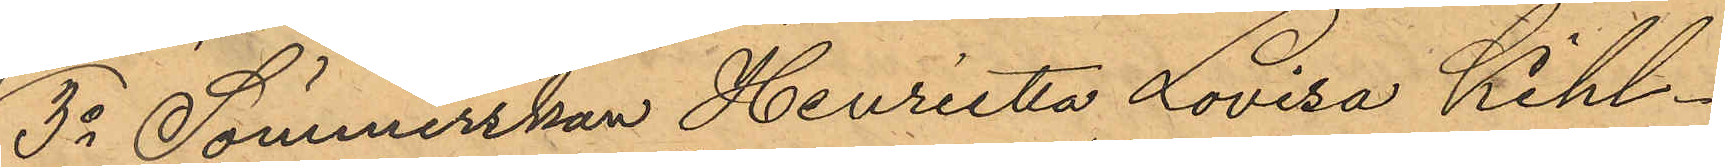3o Sömmerskan Henrietta Lovisa Kihl¬
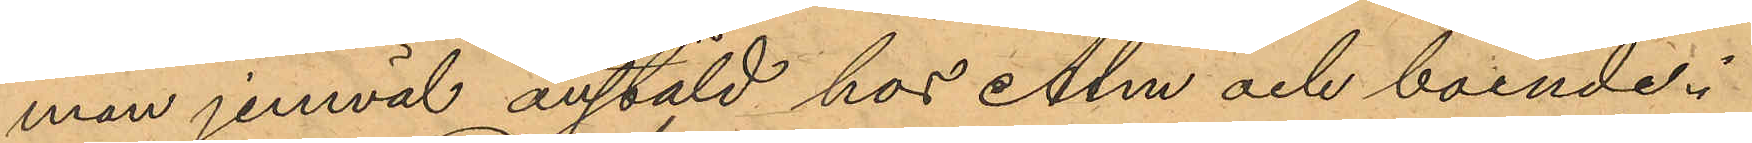man jemväl anstäld hos Alm och boende i
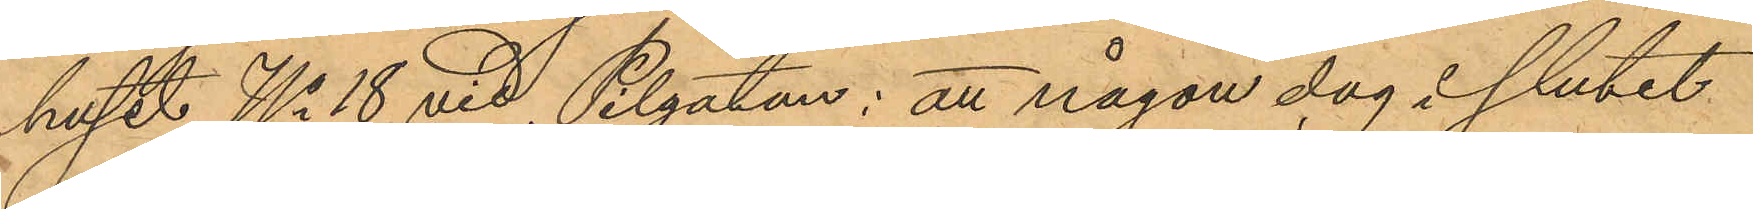huset No 18 vid Pilgatan: att någon dag i slutet
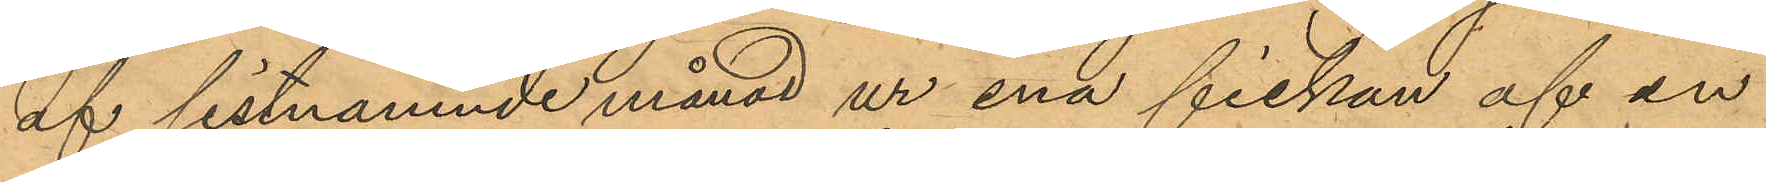af sistnämnde månad ur ena fickan af en
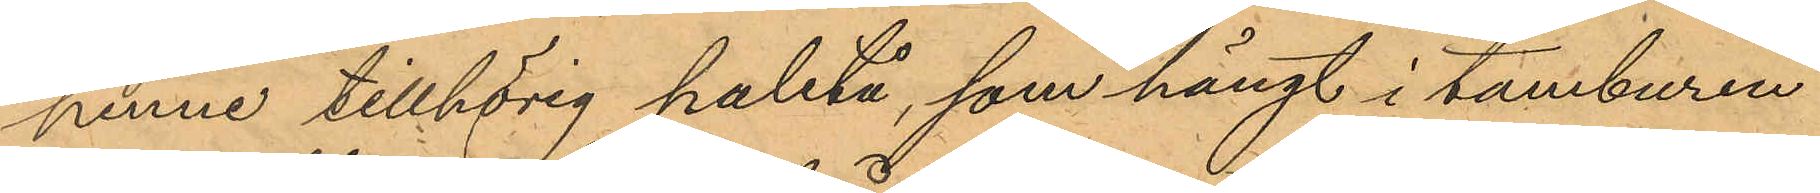henne tillhörig paletå, som hängt i tamburen
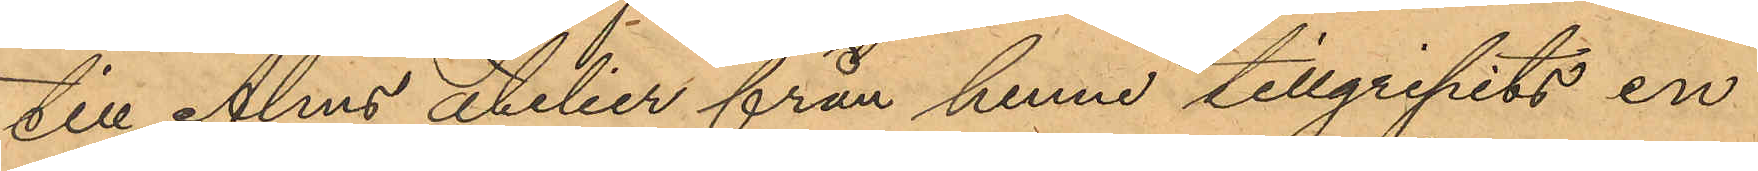till Alms atelier från henne tillgripits en
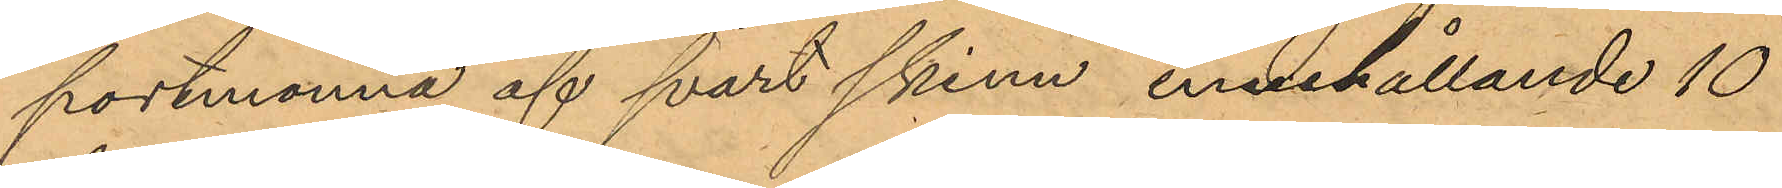portmonnä af svart skinn, innehållande 10
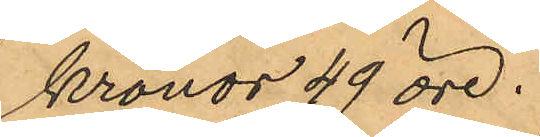kronor 49 öre.
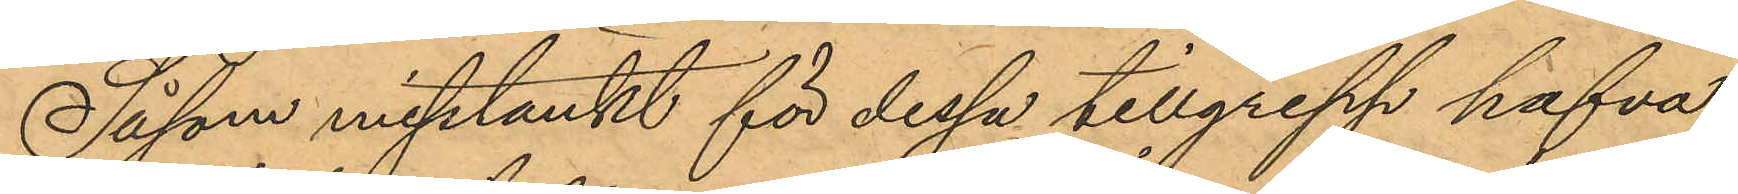Såsom misstänkt för dessa tillgrepp hafva
